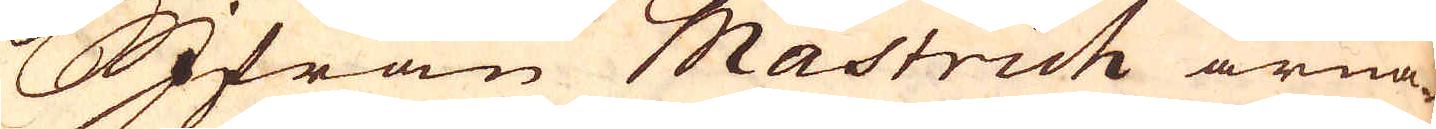Ifrån Mastrich ärna-
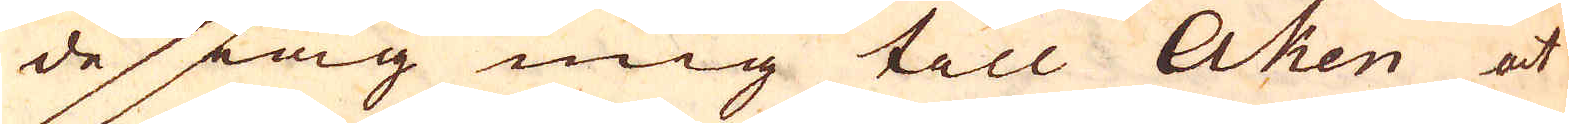de iag mig till Aken at
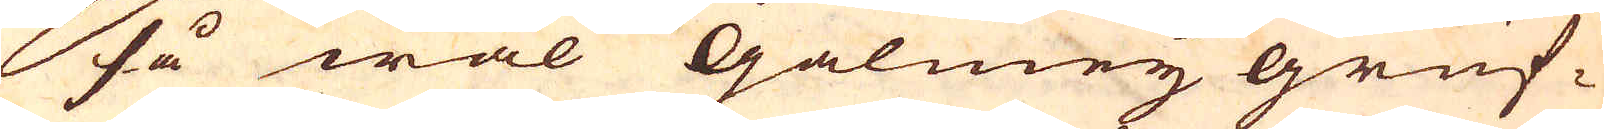så wäl Galmeij gruf-
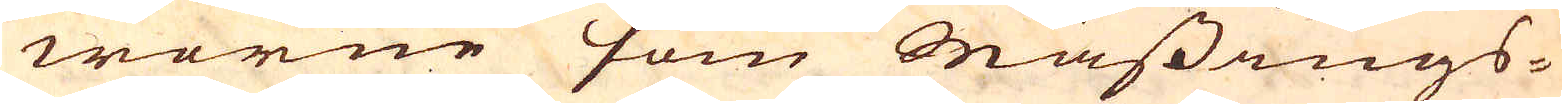worne som Mässings-
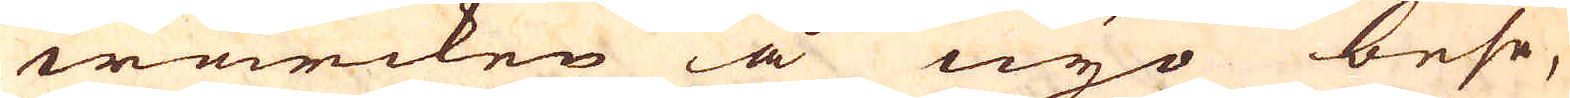wärcken å nyo bese,
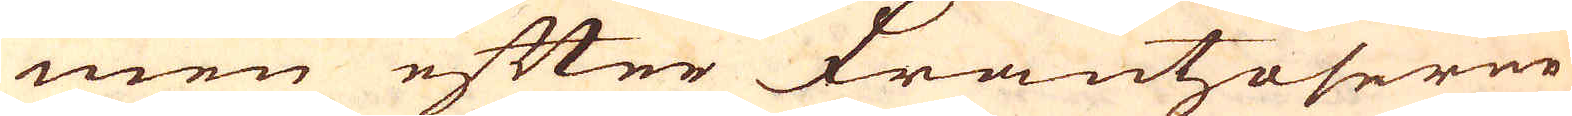men efter Frantzoserne
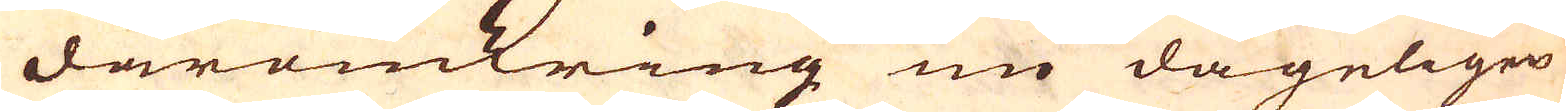däromkring nu dageligen
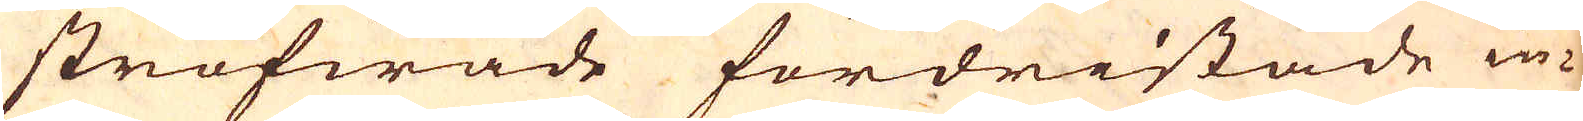ströfwade fordristade in-
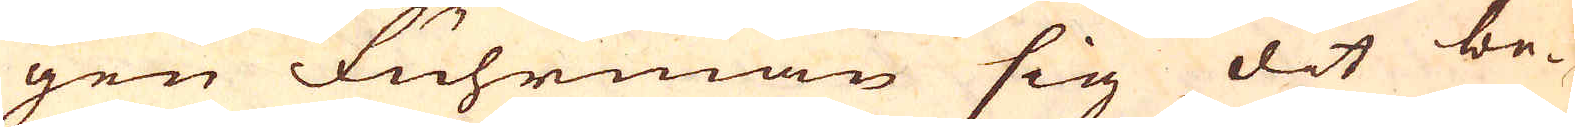gen Fuhrman sig dit be-
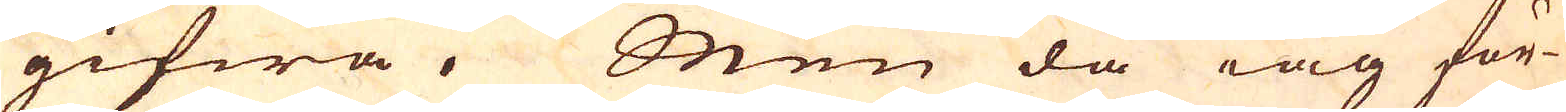gifwa. Men då iag för-
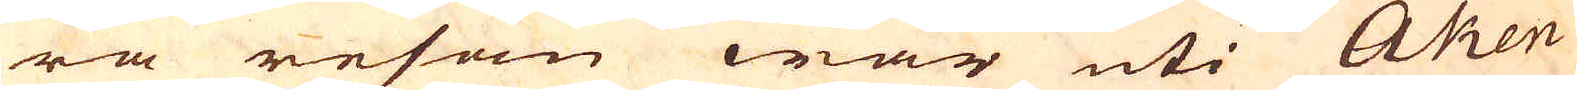ra resan war uti Aken
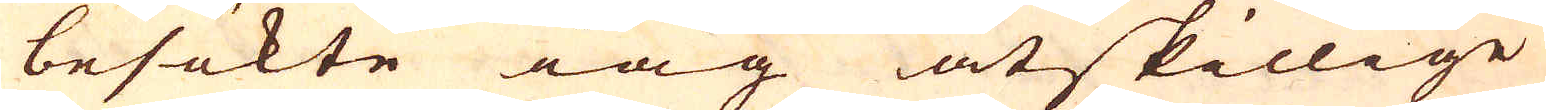besökte iag åtskillige
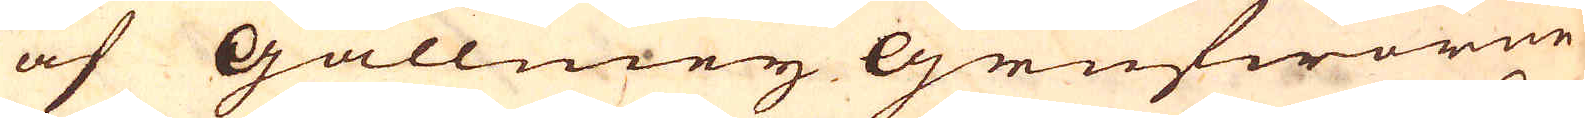af Gallmeij Grufworne
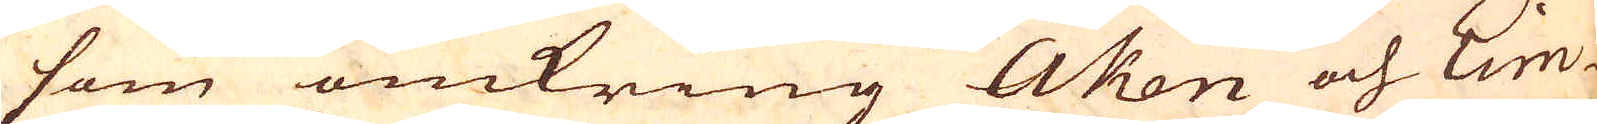som omkring Aken och Lim-
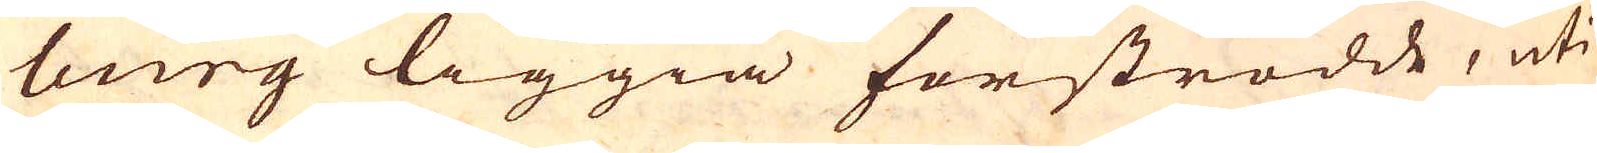burg liggia förströdde, uti
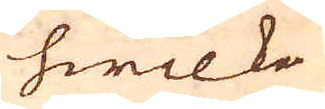hwilka
